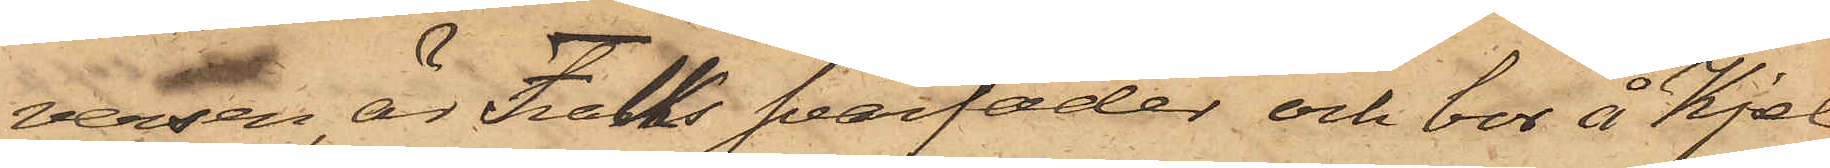versen, är Falks svärfader och bor å Kjel¬
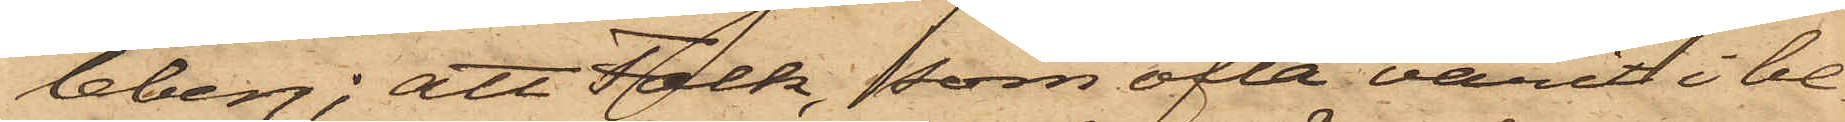leberg; att Falk, som ofta varit i be¬
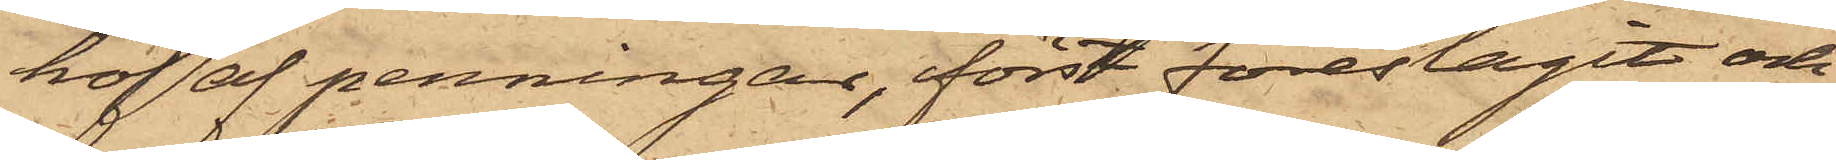hof af penningar, först föreslagit och
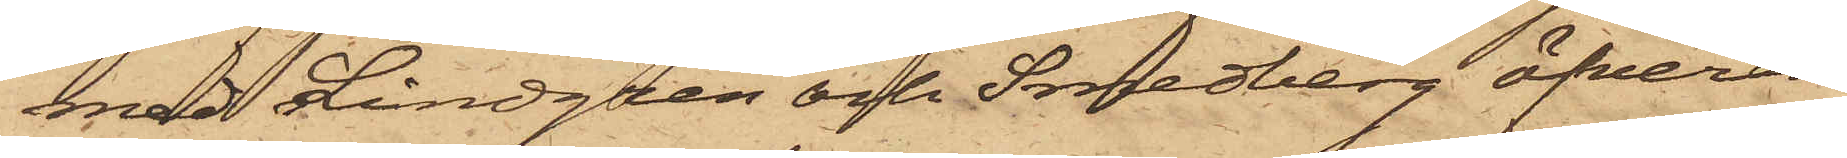med Lindgren och Smedberg öfverens¬
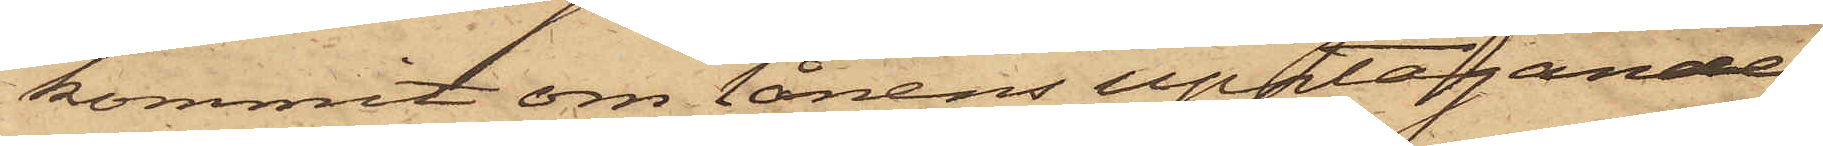kommit om lånens upptagande,
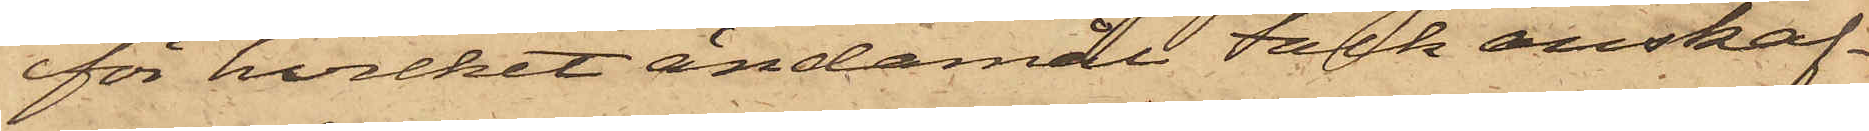för hvilket ändamål Falk anskaf¬
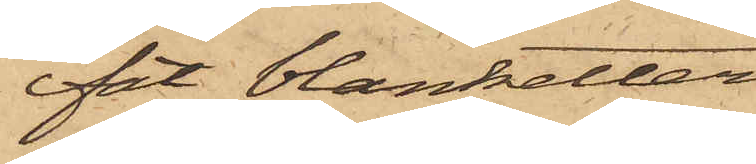fat blanketter
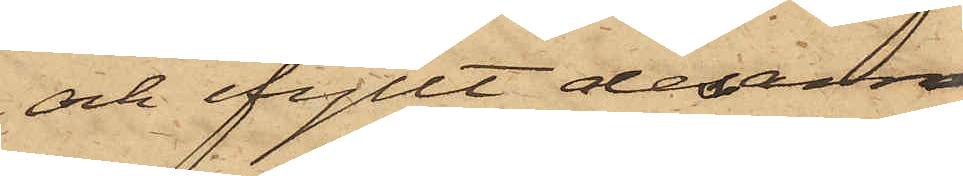och ifyllt desam¬
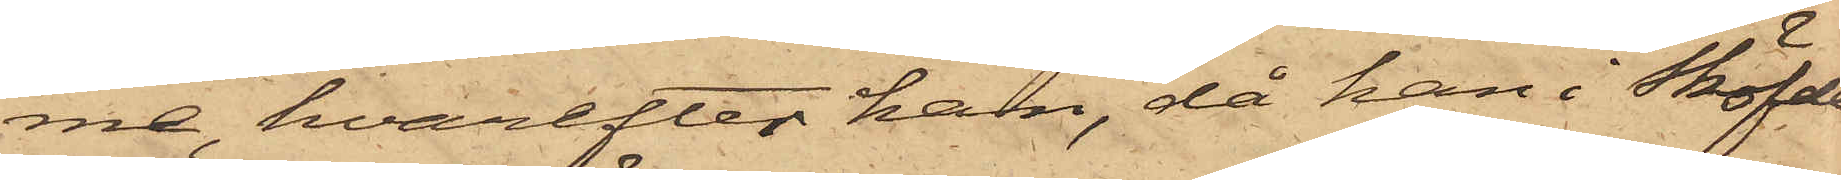me, hvarefter han, då han i Sköfde
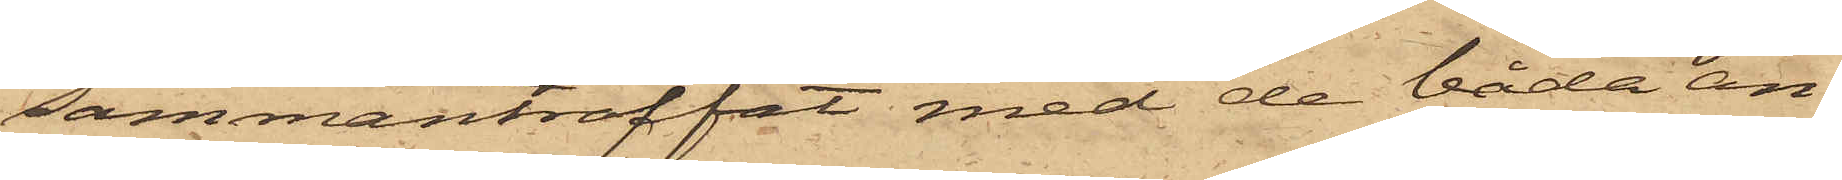sammanträffat med de båda an¬
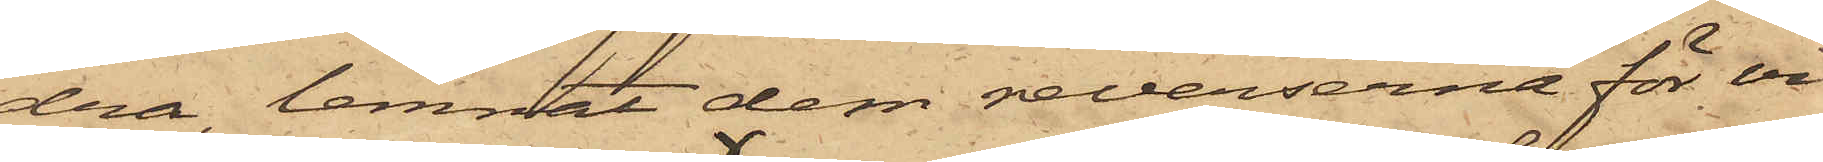dra, lemnat dem reverserna för vi¬
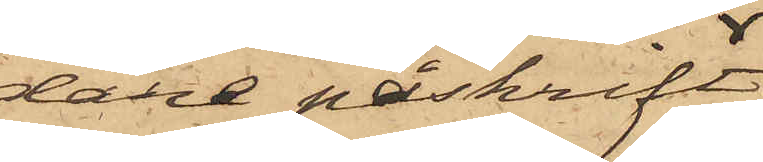dare påskrift,
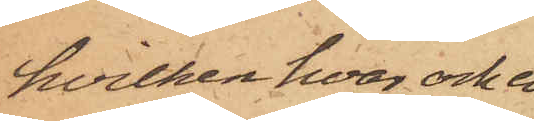hvilken hvar och en
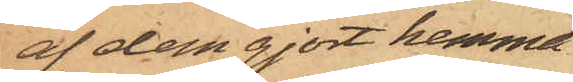af dem gjort hemma
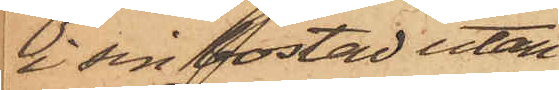i sin bostad utan
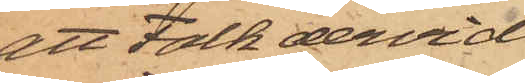att Falk dervid
